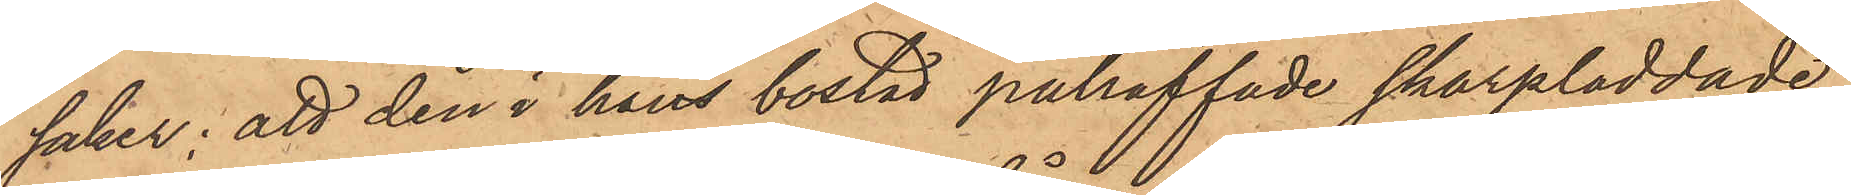saker; att den i hans bostad påträffade skarpladdade
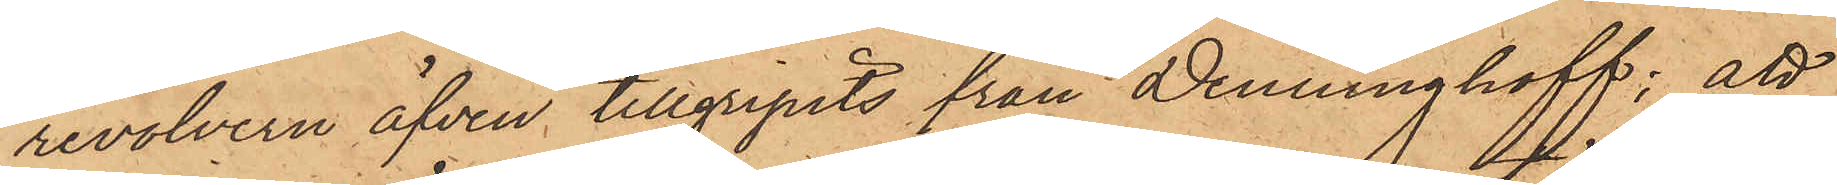revolvern äfven tillgripits från Denninghoff; att
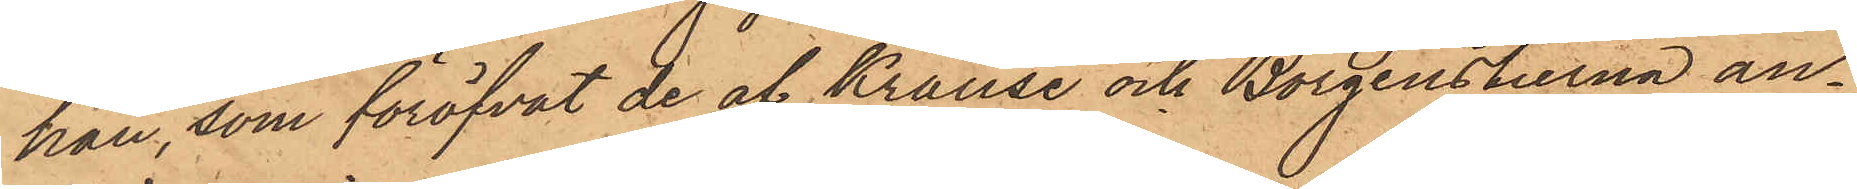han, som föröfvat de af Krause och Borgenstierna an¬
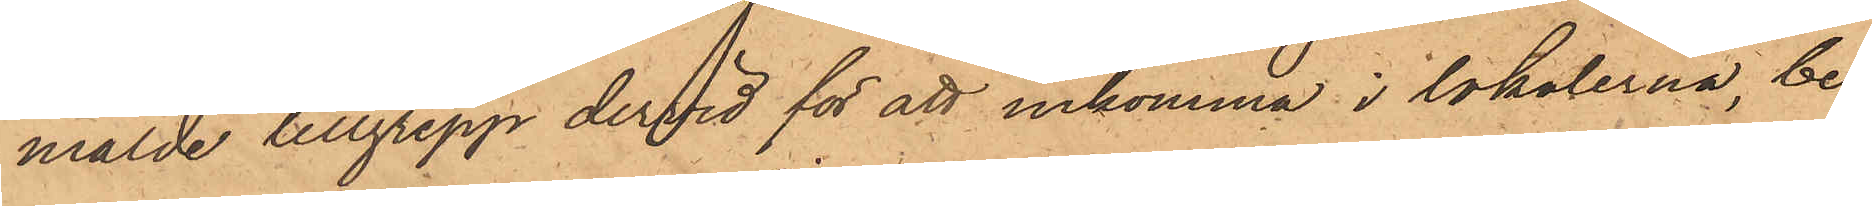mälde tillgrepp dervid för att inkomma i lokalerna, be¬
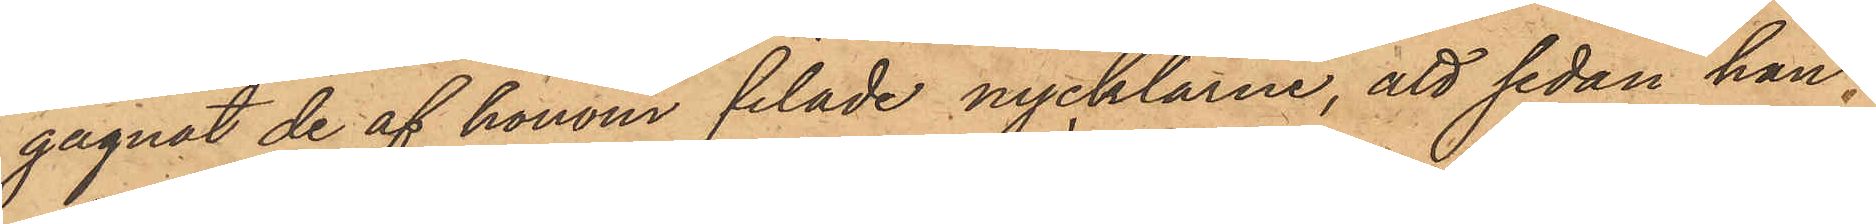gagnat de af honom filade nycklarne, att sedan han
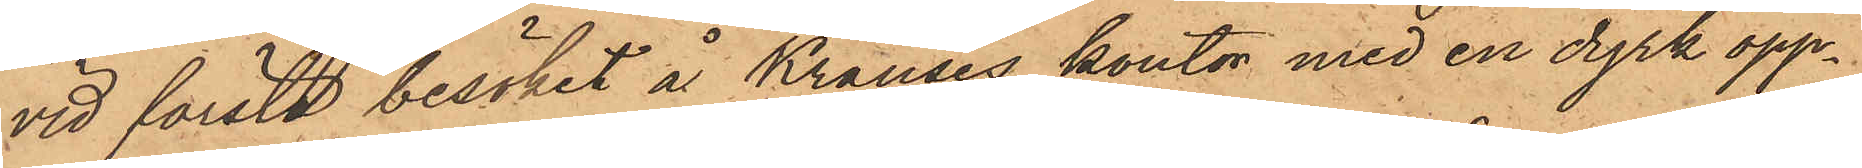vid första besöket å Krauses kontor med en dyrk öpp¬
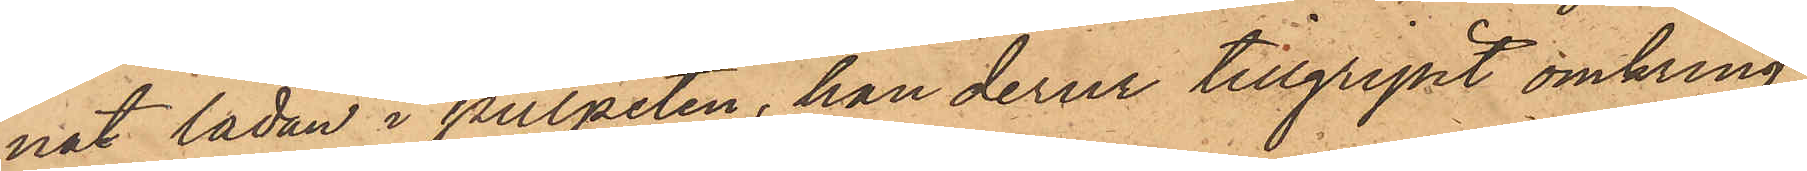nat lådan i pulpeten, han derur tillgripit omkring
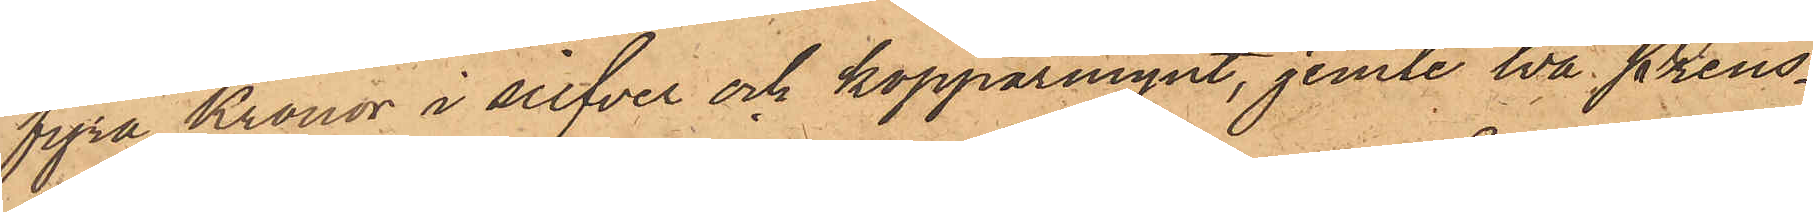fyra Kronor i silfver och kopparmynt, jemte två Preus¬
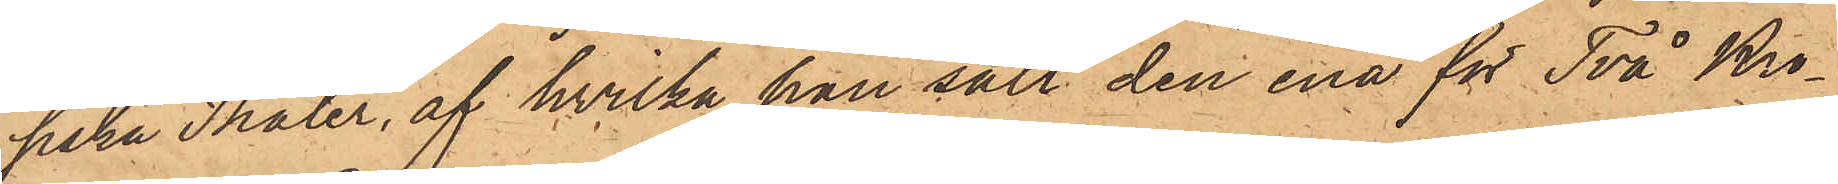siska Thaler, af hvilka han sålt den ena för Två Kro¬
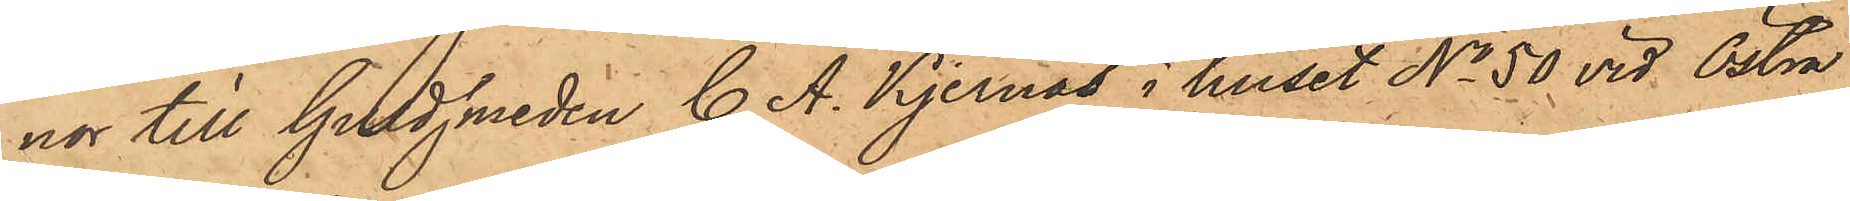nor till Guldsmeden C. A. Kjernås i huset No 50 vid Östra
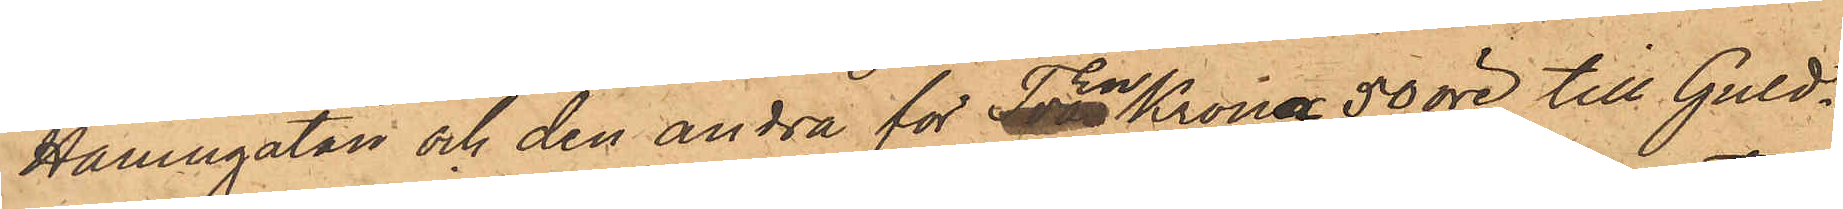Hamngatan och den andra för en Krona 50 öre till Guld¬
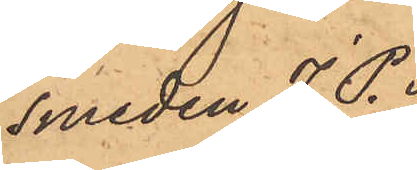smeden J. P.
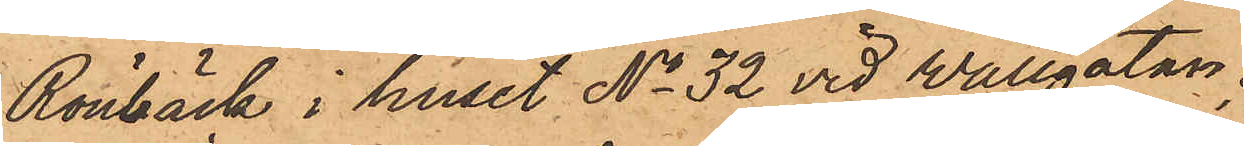Rönbäck i huset No 32 vid Vallgatan;
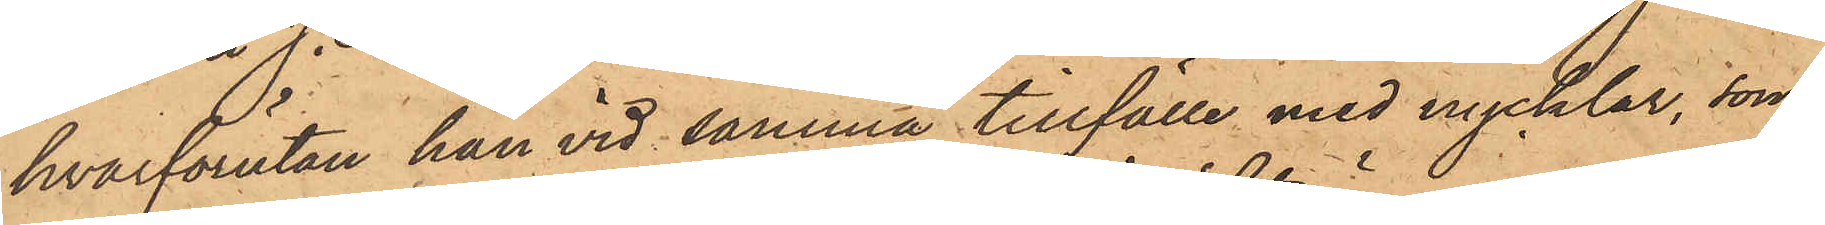hvarförutan han vid samma tillfälle med nycklar, som
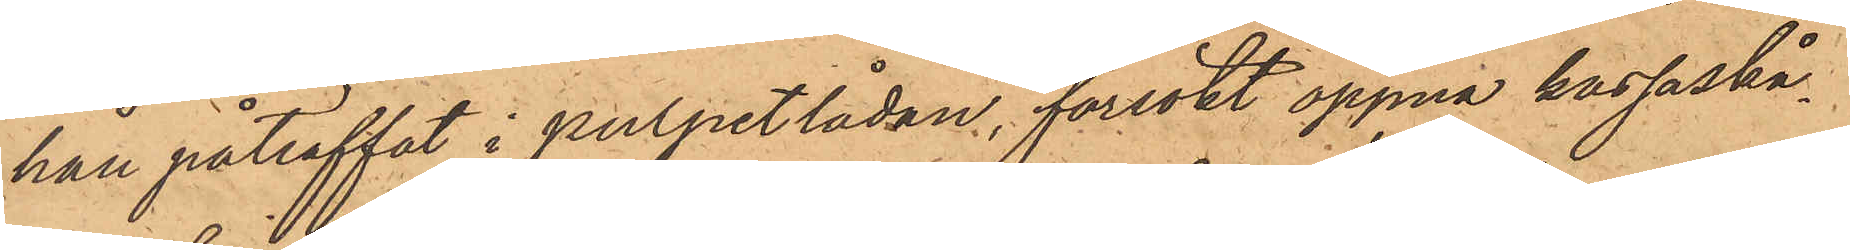han påträffat i pulpetlådan, försökt öppna kassaskå¬
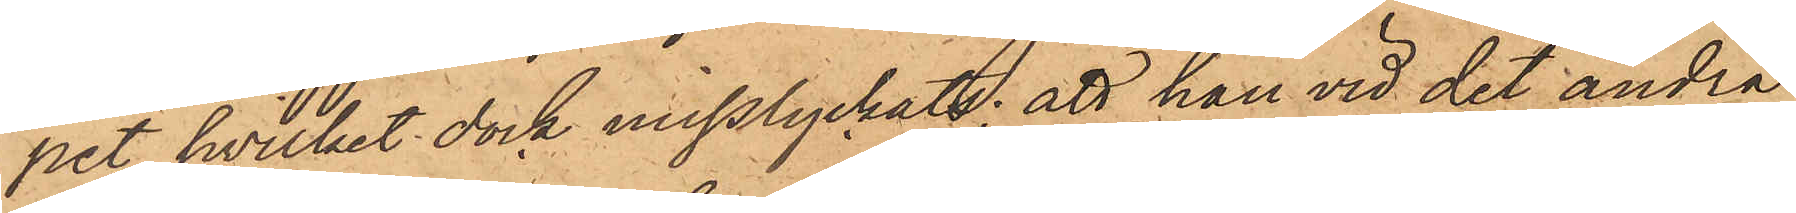pet, hvilket dock misslyckats; att han vid det andra
